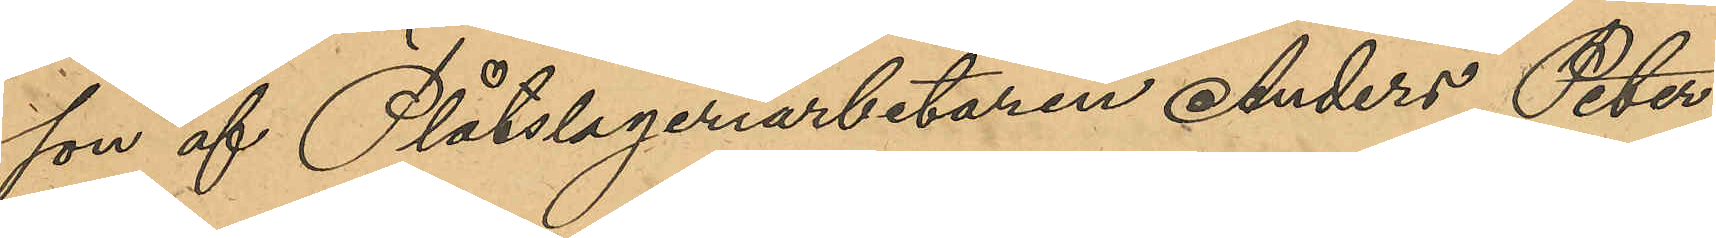son af Plåtslageriarbetaren Anders Peter
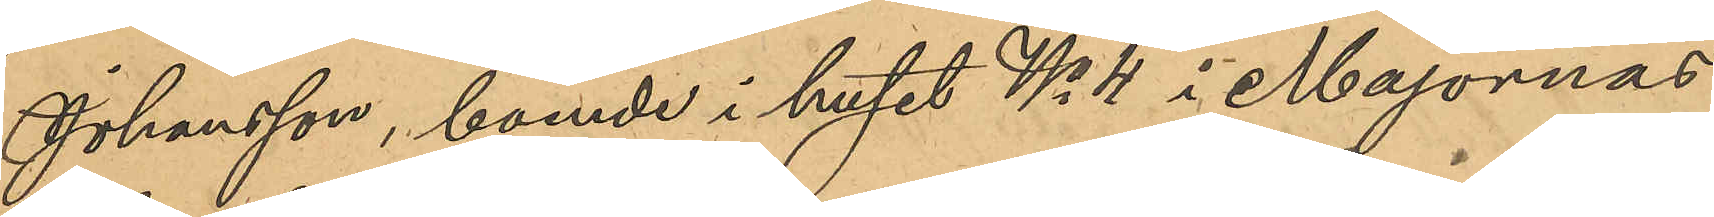Johansson, boende i huset No 4 i Majornas
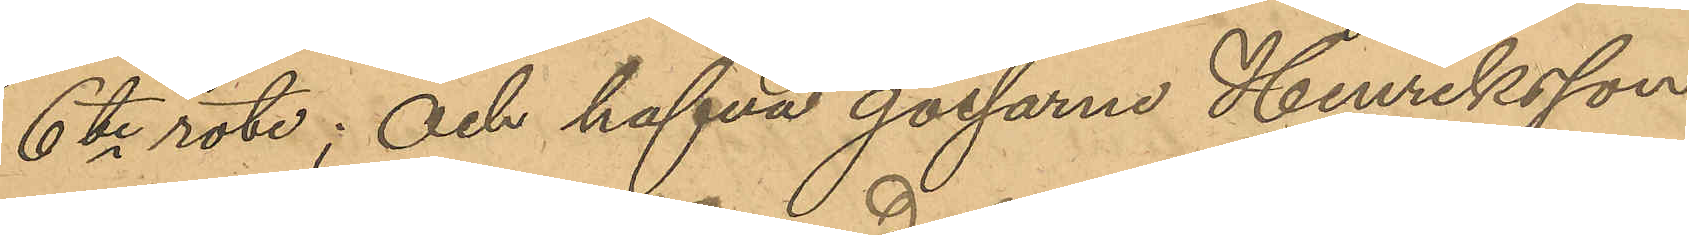6te rote; och hafva gossarna Henriksson
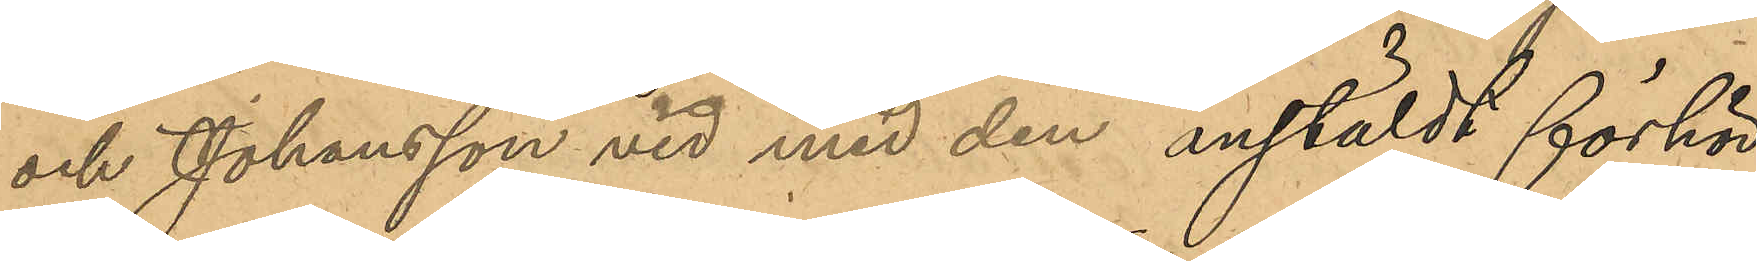och Johansson vid med dem anstäldt förhör
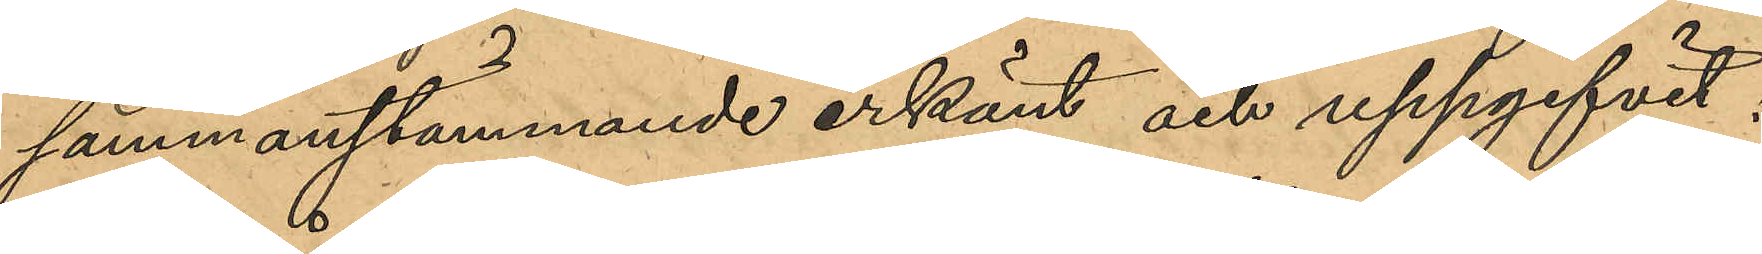sammanstämmande erkänt och uppgifvit;
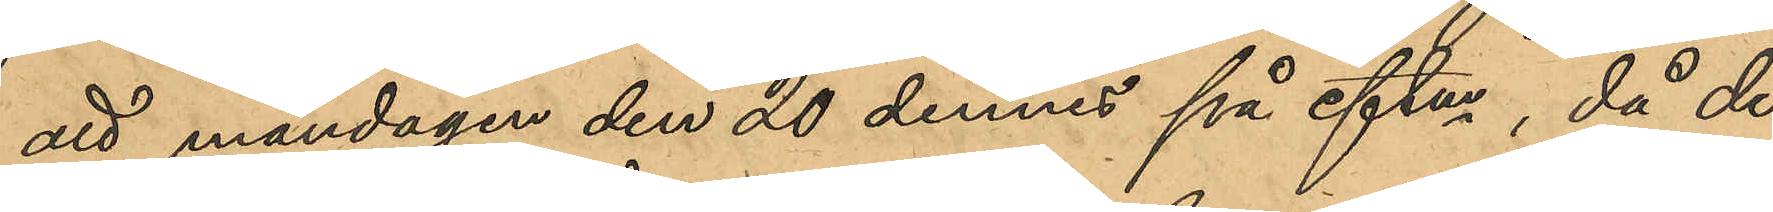att måndagen den 20 dennes på eftm, då de
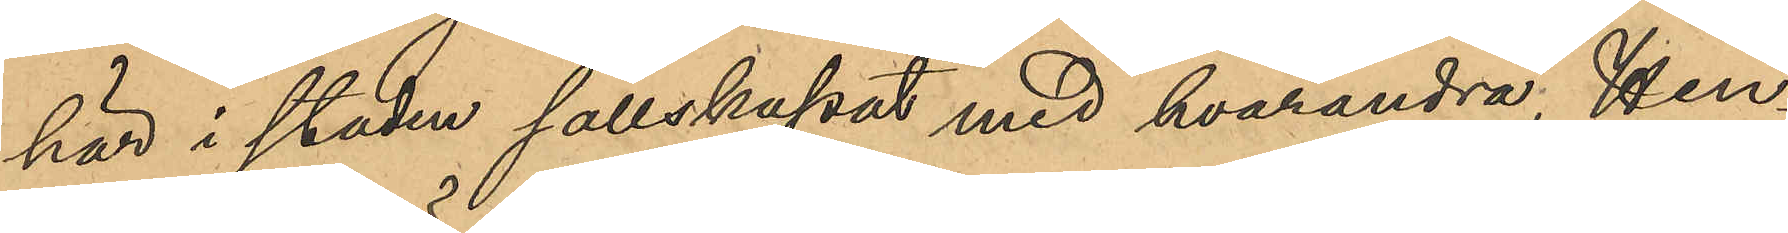här i staden sällskapat med hvarandra, Hen¬
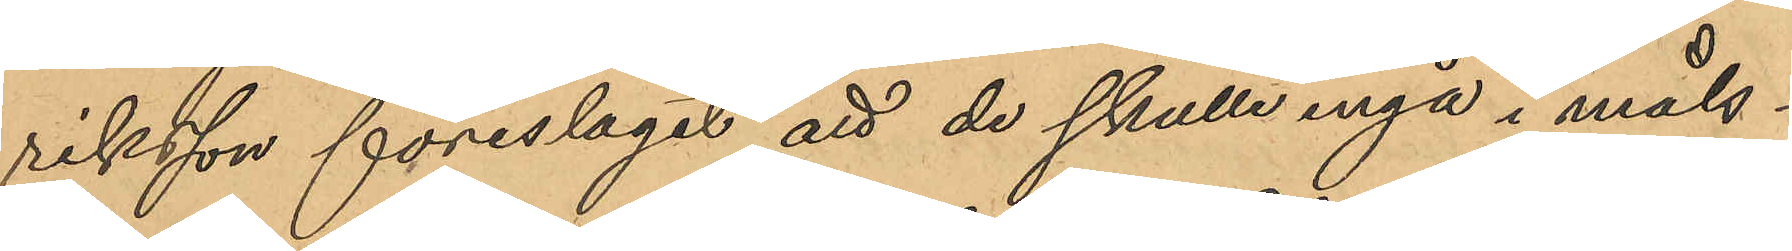riksson föreslagit att de skulle ingå i måls¬
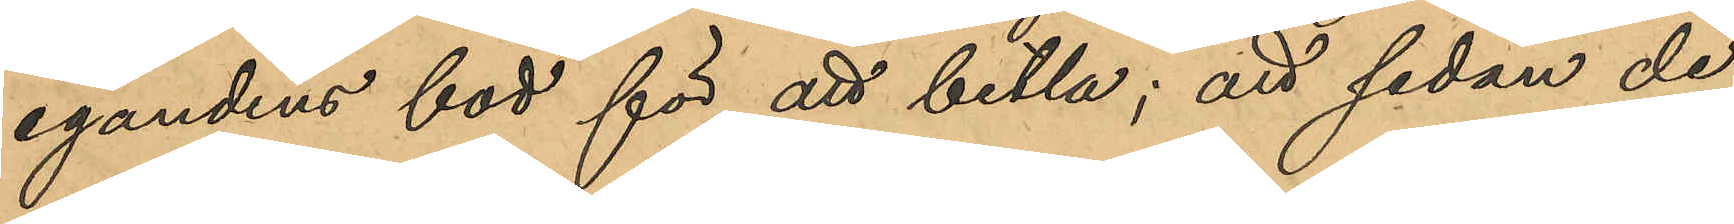egandens bod för att betla; att sedan de
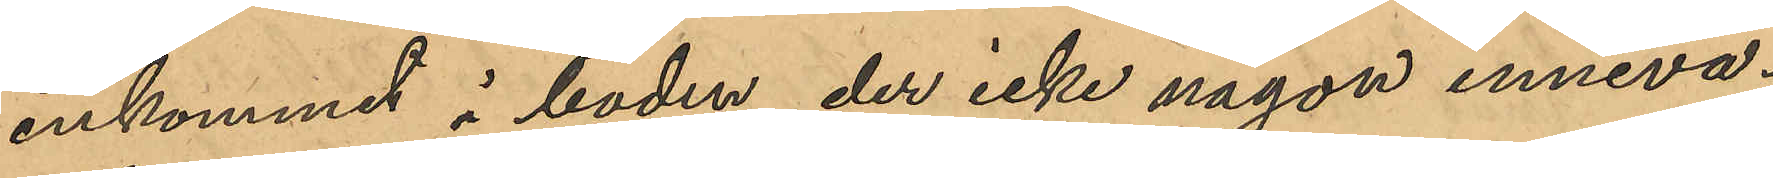inkommit i boden, der icke någon inneva¬
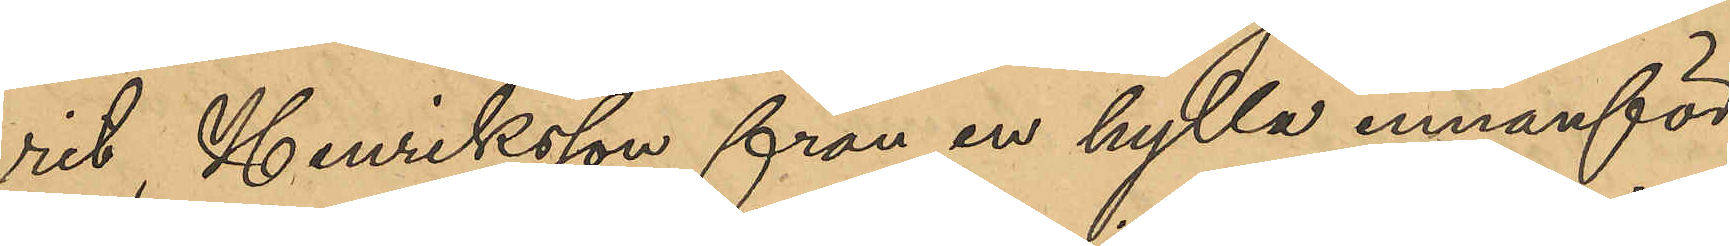rit, Henriksson från en hylla innanför
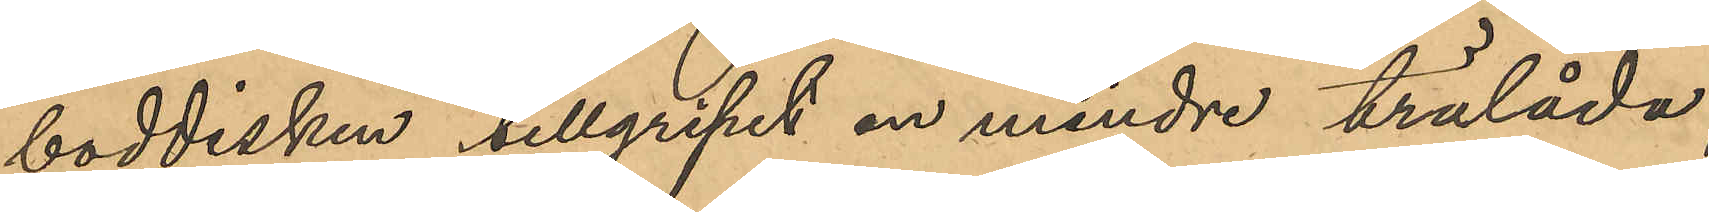boddisken tillgripit en mindre trälåda,
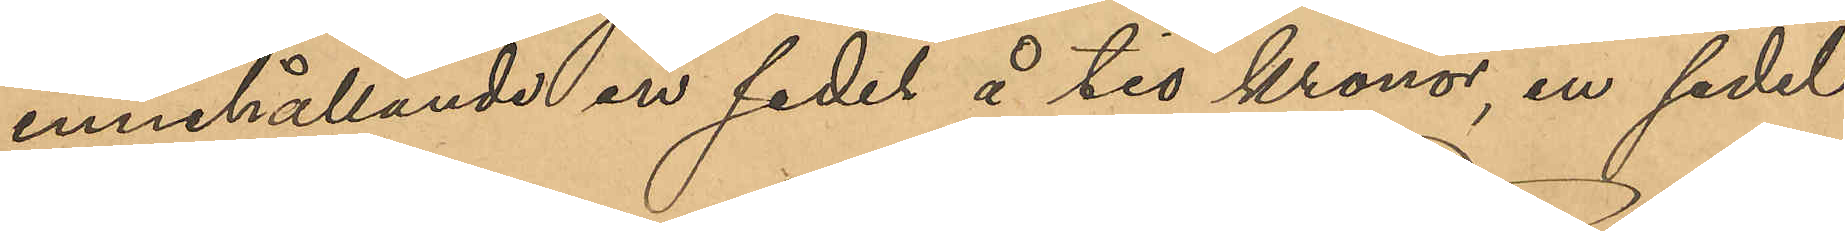innehållande en sedel å tio Kronor, en sedel
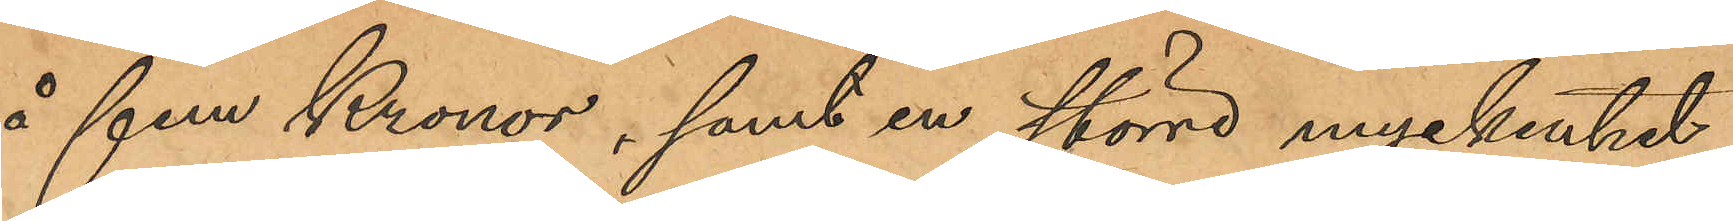å fem Kronor, samt en större myckenhet
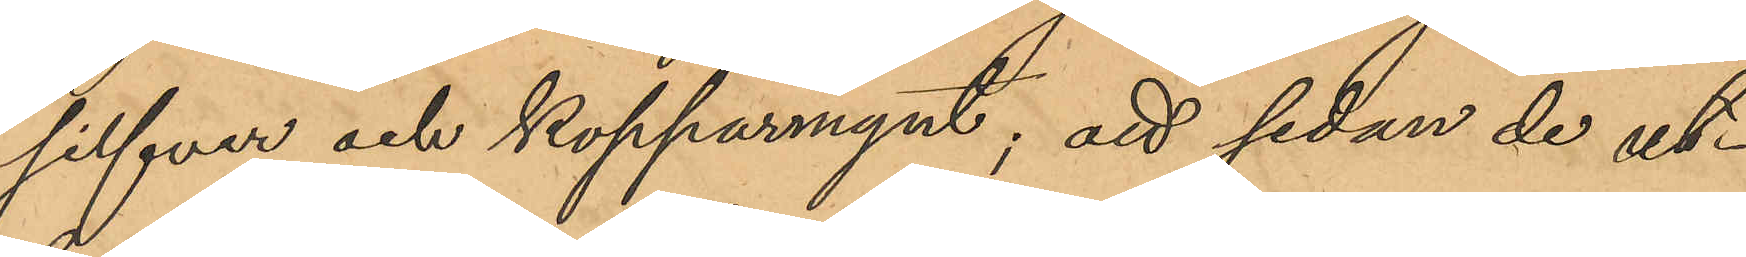silfver och kopparmynt; att sedan de ut¬
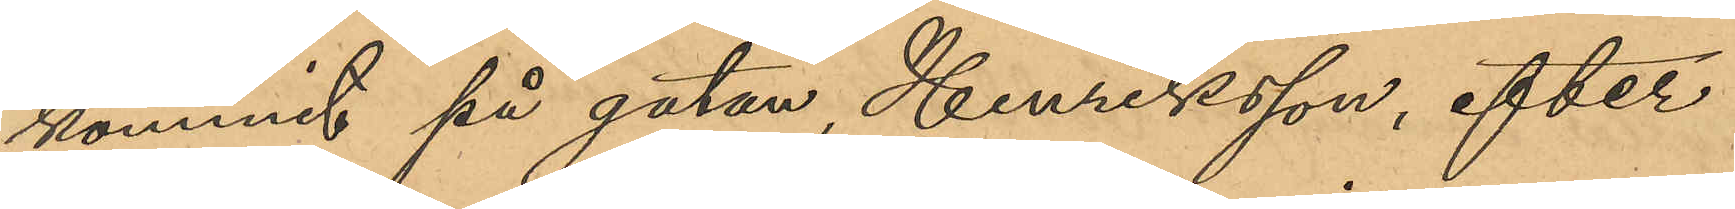kommit på gatan, Henriksson, efter
